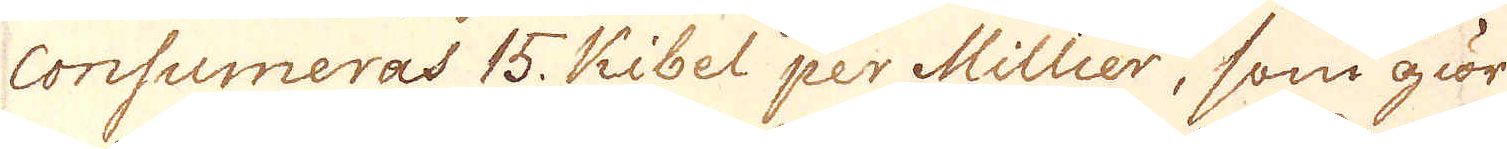consumeras 15. Kibel per Millier, som giör
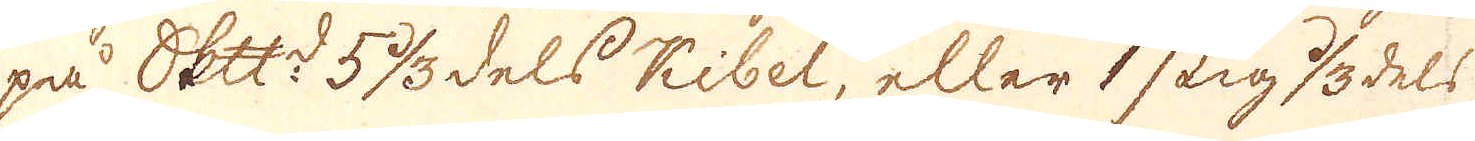på Skepppund:t 5 1/3 dels Kibel, eller 1 stig  1/3 dels
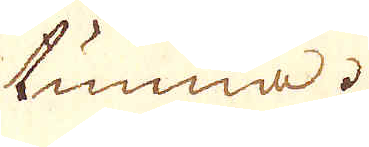tunna.
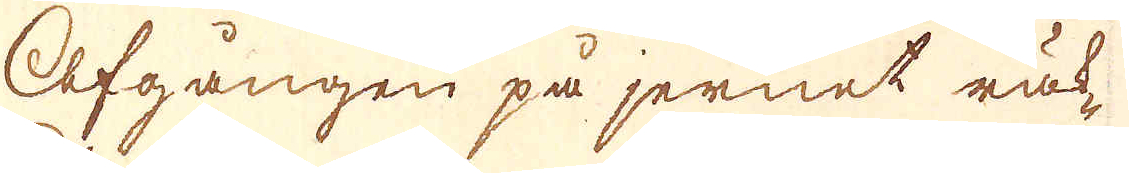Afgången på jernet räk-
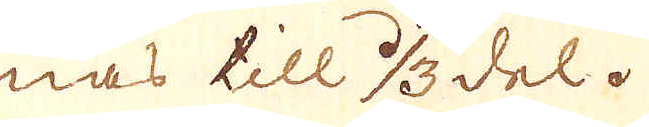nas till 1/3 del.
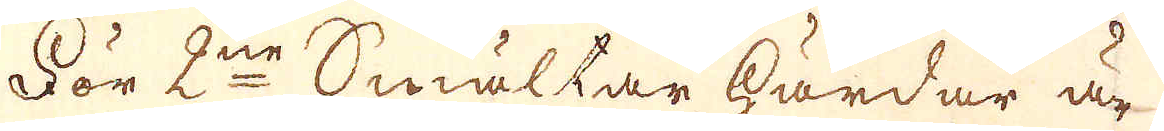För 2ne Smältar härdar är-
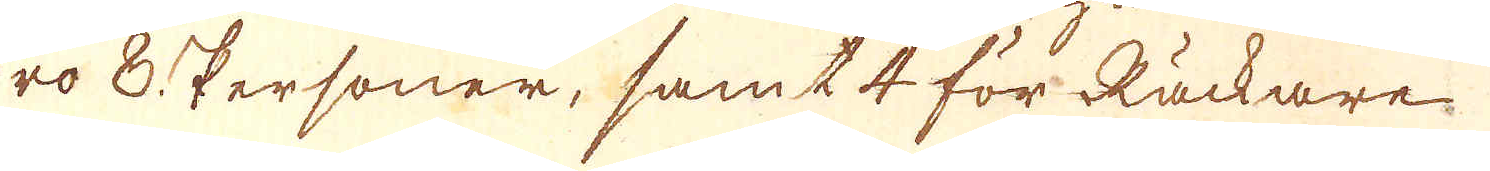ro 8 personer, samt 4 för Räckare
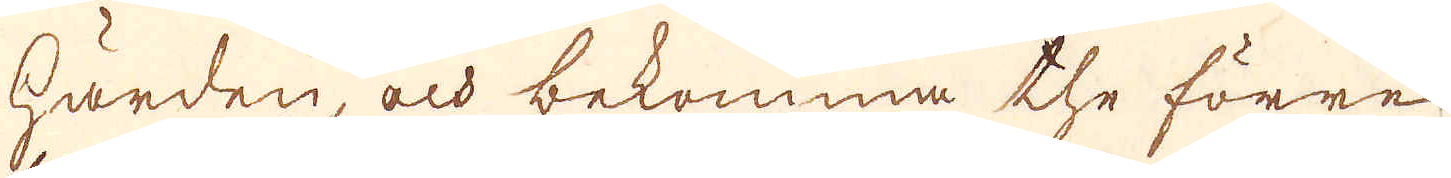härden, och bekomma the förre
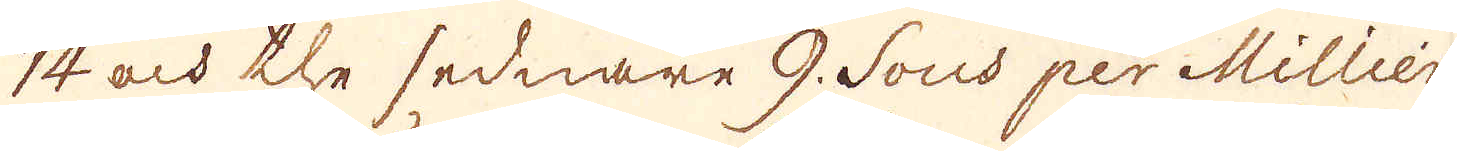14 och the sednare 9. Sous per Millier
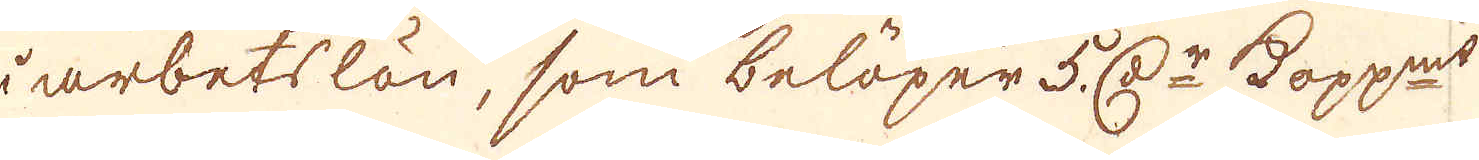i arbetslön, som belöper 5. r:Dr Kopparmynt
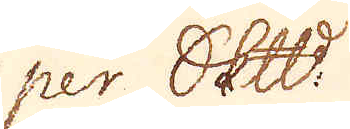per Skepppund.
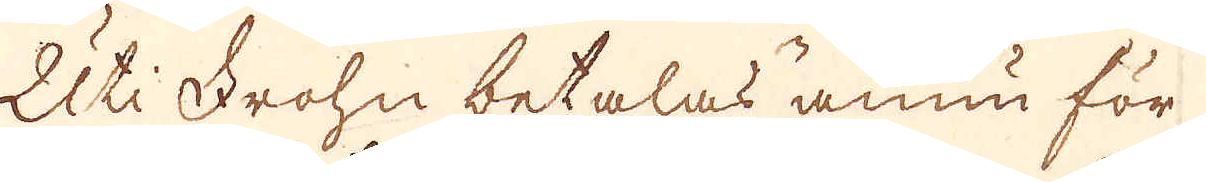Uti Frohn betalas ännu för
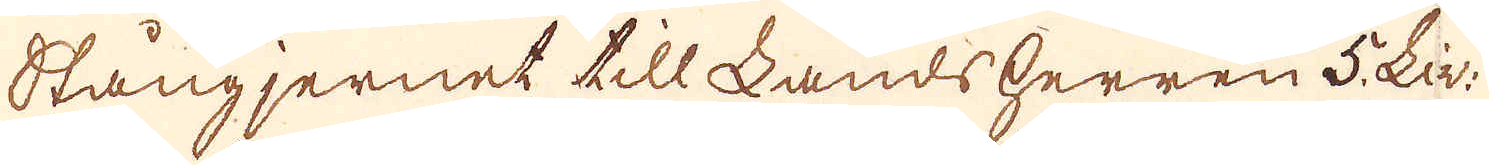Stångjernet till Landsherren 5. Liv:
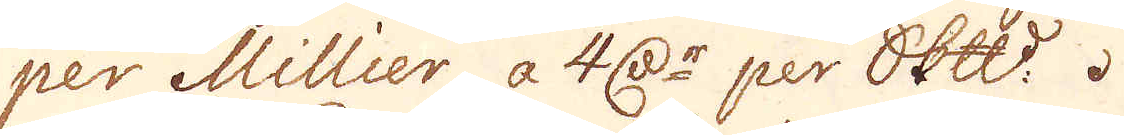per Millier, a 4 r:Dr per skeppspund.
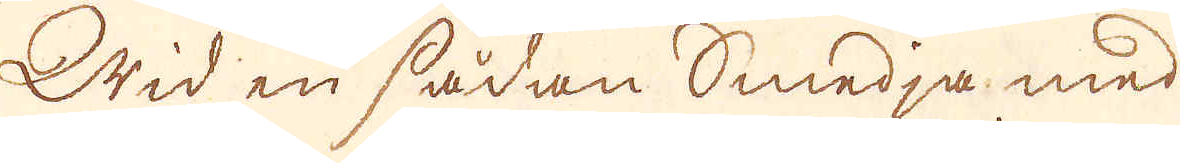Wid en sådan Smedja med
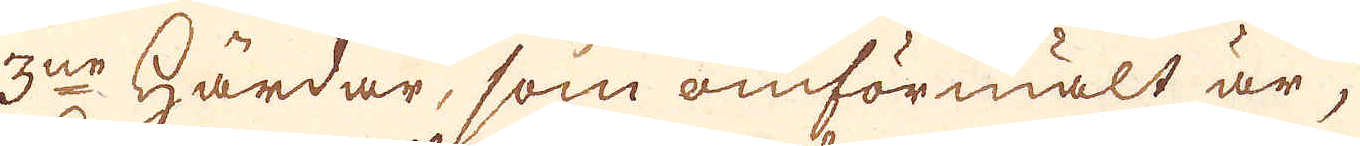3ne Härdar, som omförmält är,
